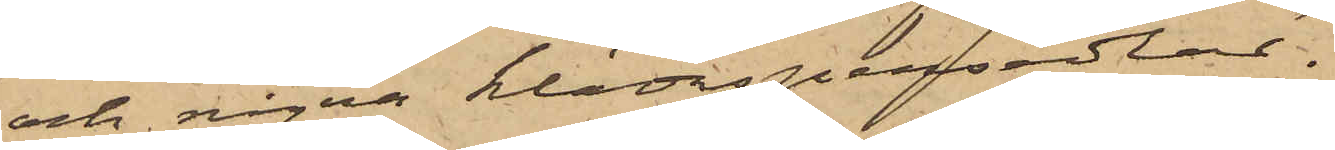och några klädespersedlar.
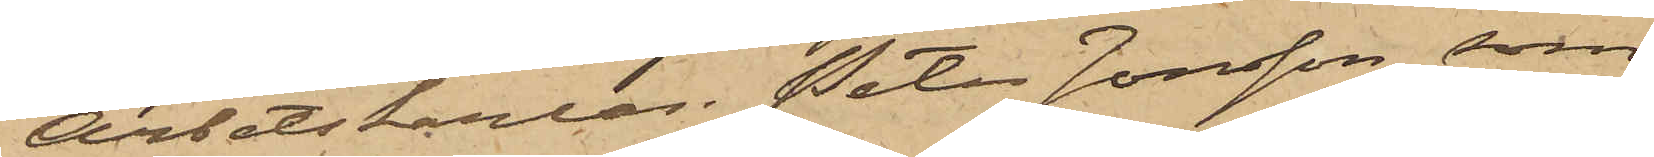Arbetskarlen Peter Jonsson, som
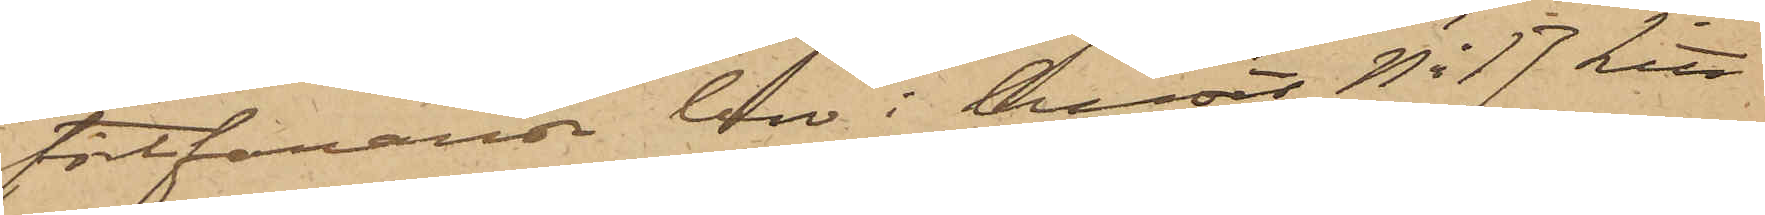fortfarande bor i huset No 17 Litt
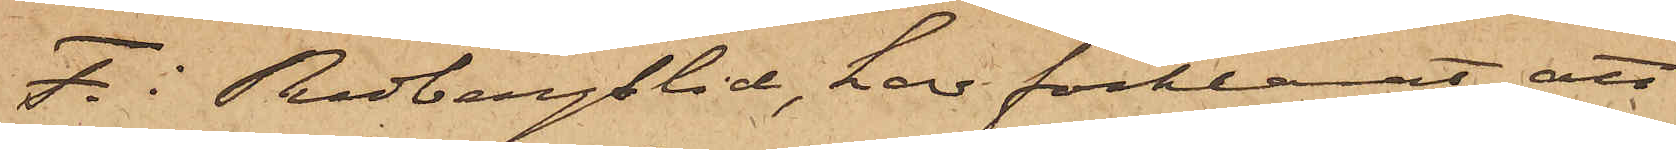F. i Redbergslid, har förklarat, att
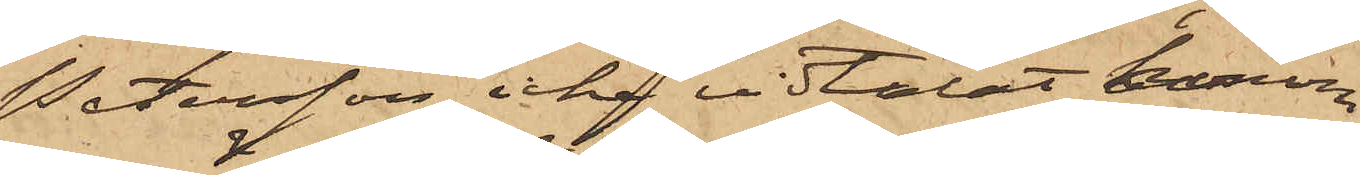Petersson icke vidtalat honom
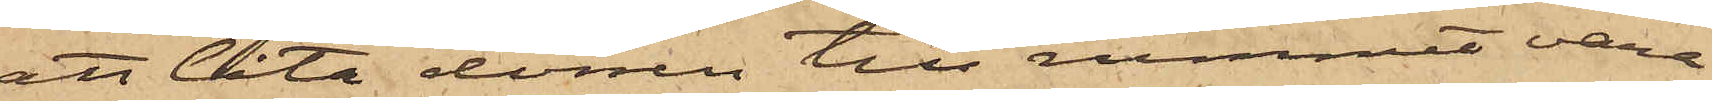att låta dörren till rummet vara
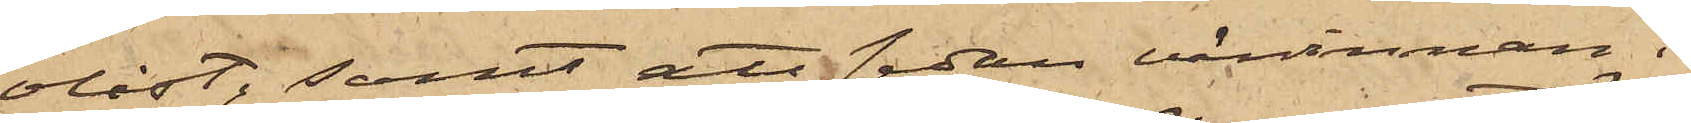olåst, samt att sedan värdinnan i
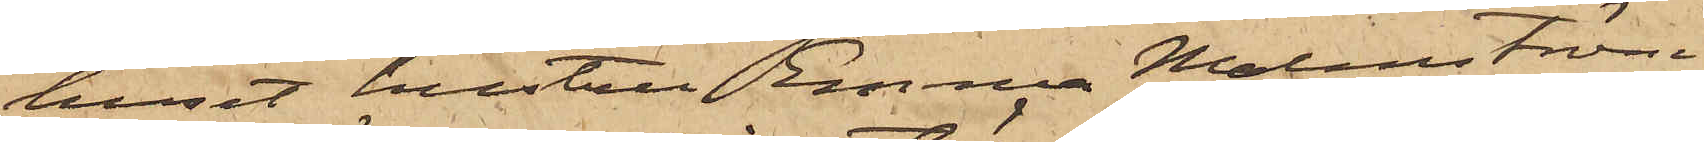huset hustru Emma Malmström
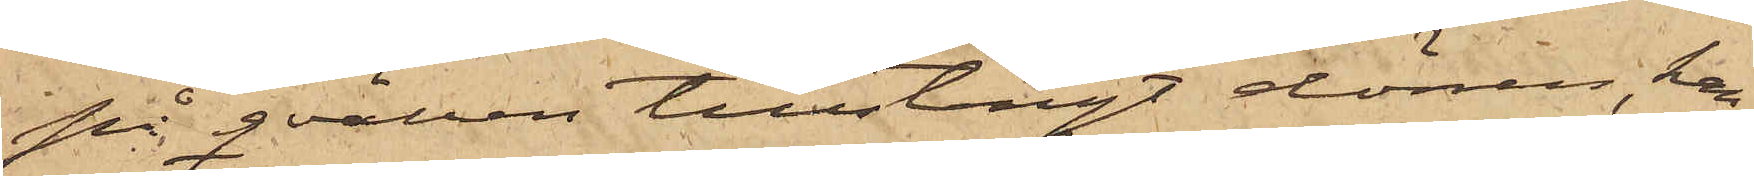på qvällen tillstängt dörren, han
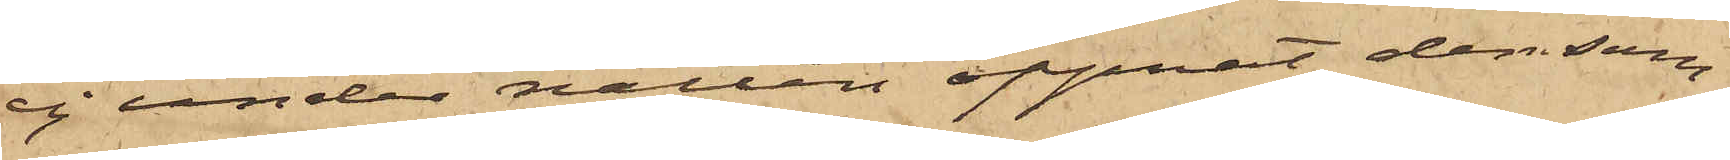ej under natten öppnat densam¬
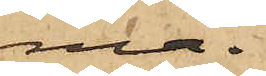ma.
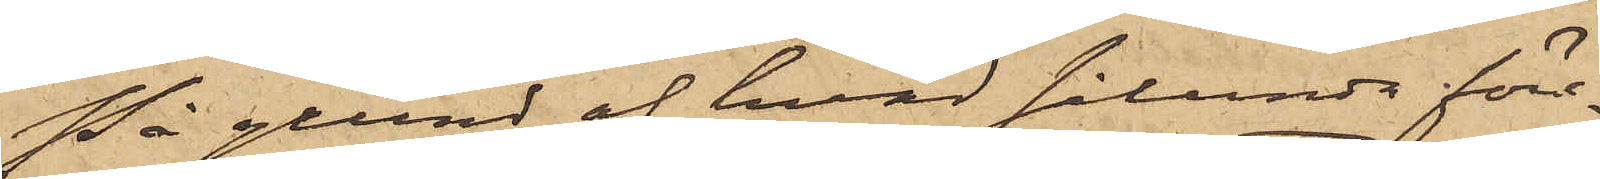På grund af hvad sålunda före¬
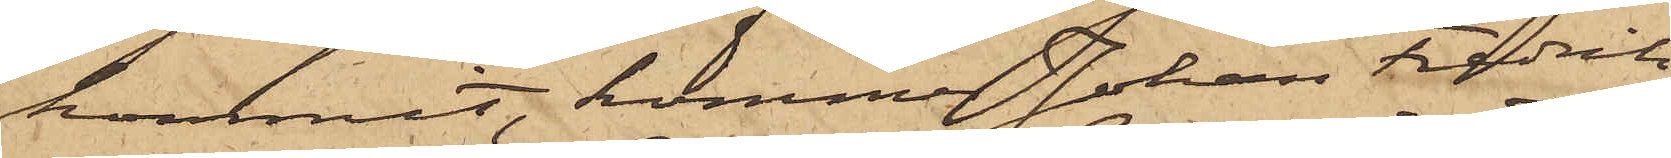kommit, kommer Johan Fredrik
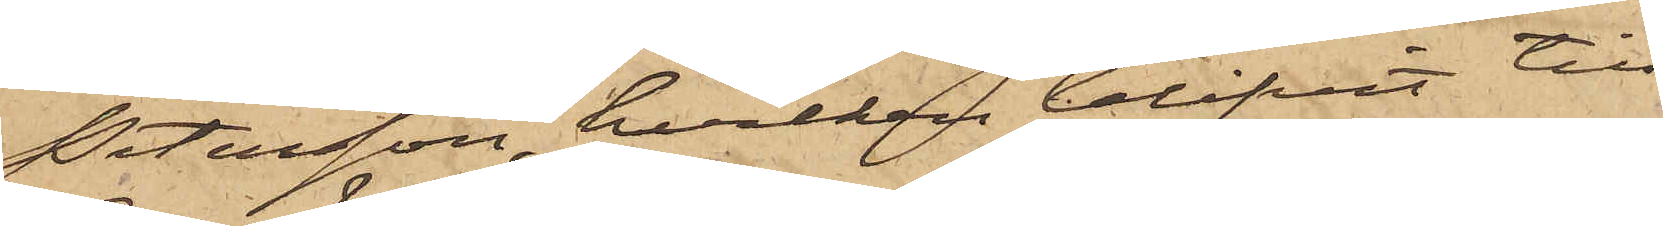Petersson, hvilken blifvit till
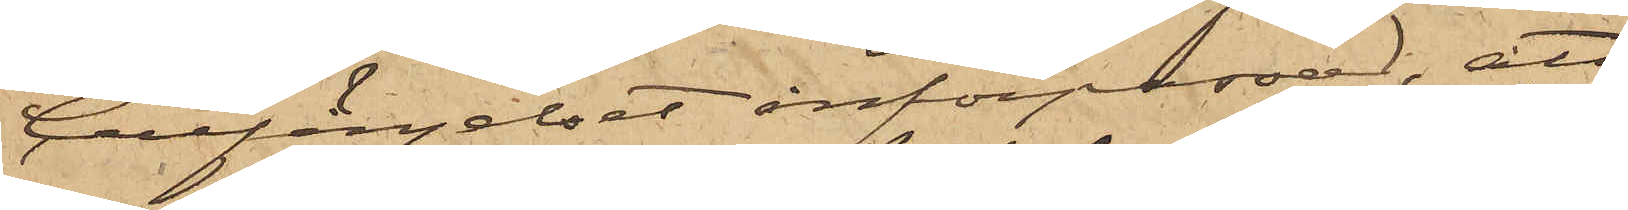Cellfängelset införpassad, att
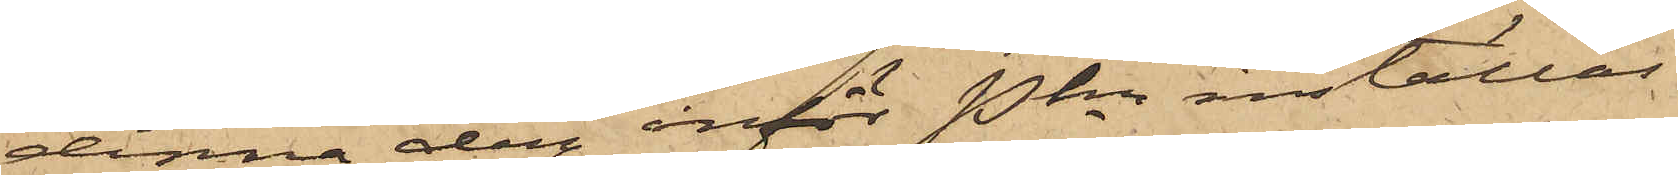denna dag inför Pkn inställas.
